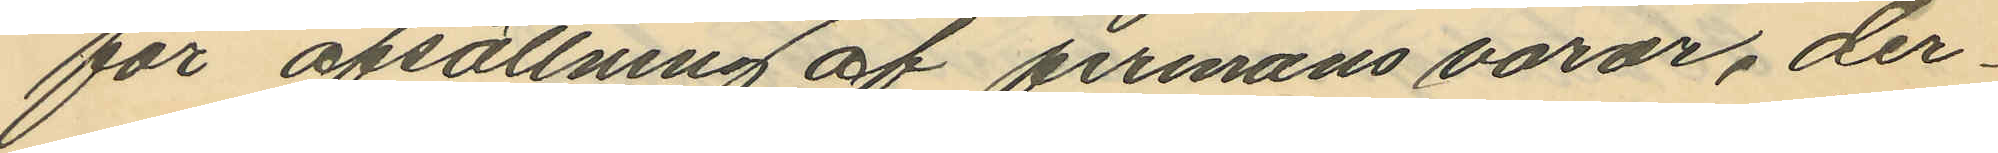för afsällning af firmans varor, der¬
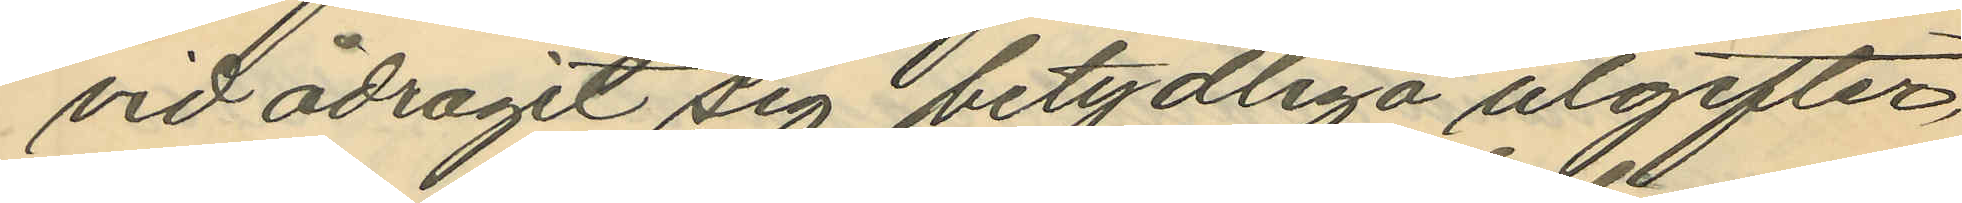vid ådragit sig betydliga utgifter
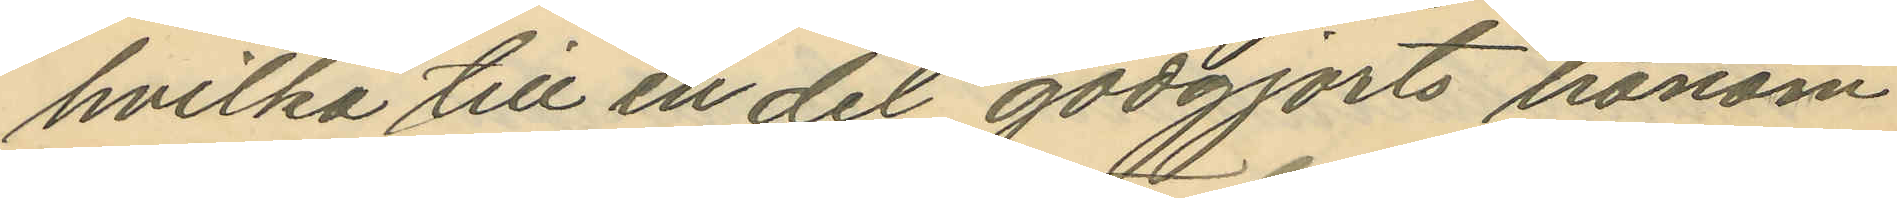hvilka till en del godgjorts honom
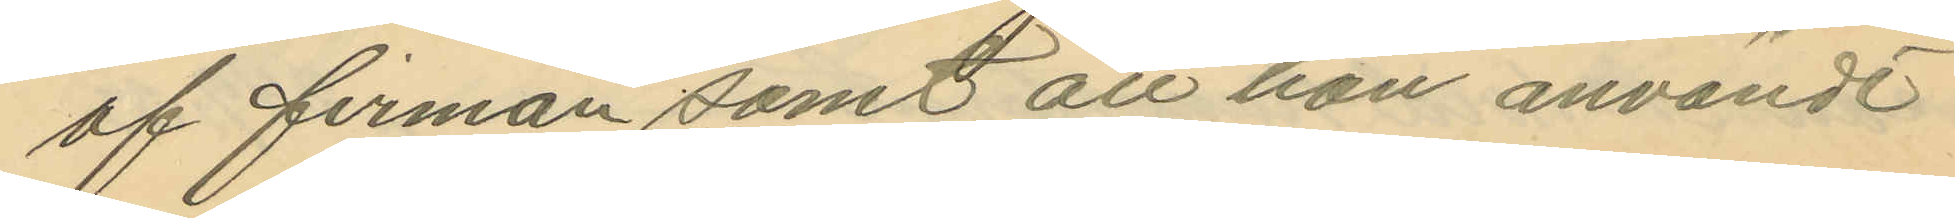af firman samt att han användt
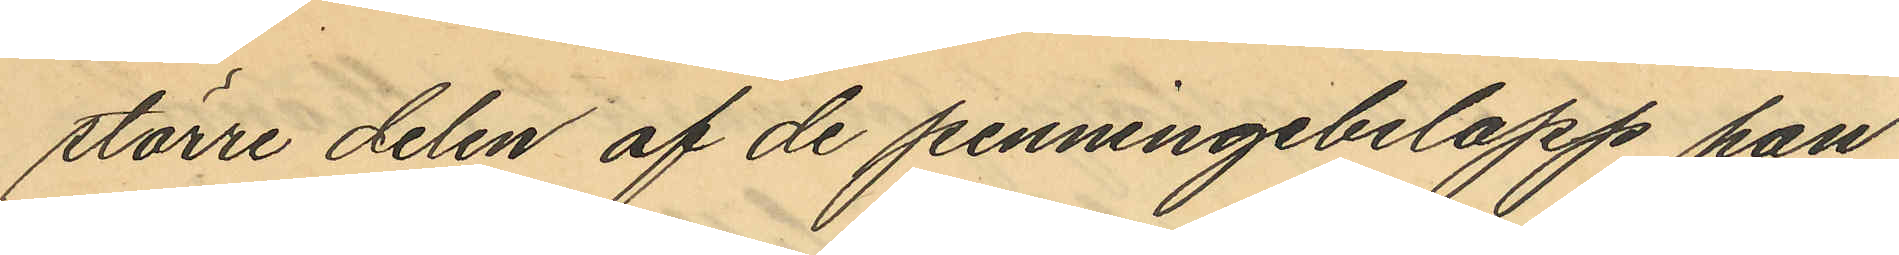större delen af de penningebelopp han
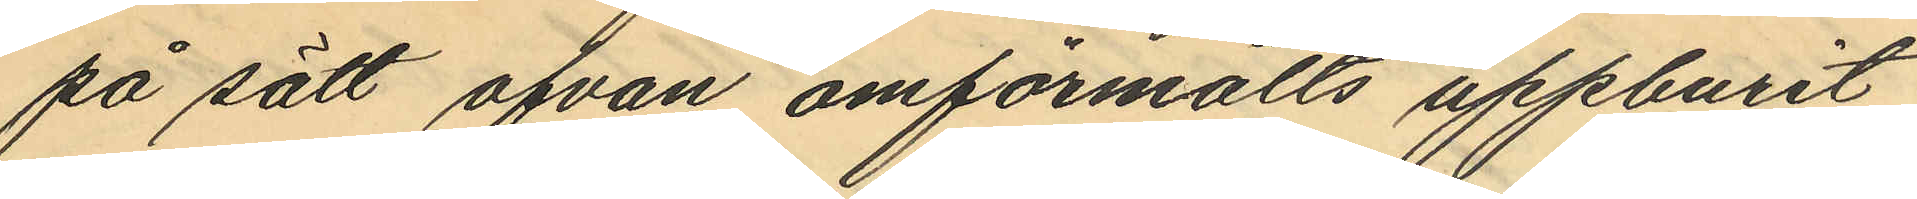på sätt ofvan omförmälts uppburit
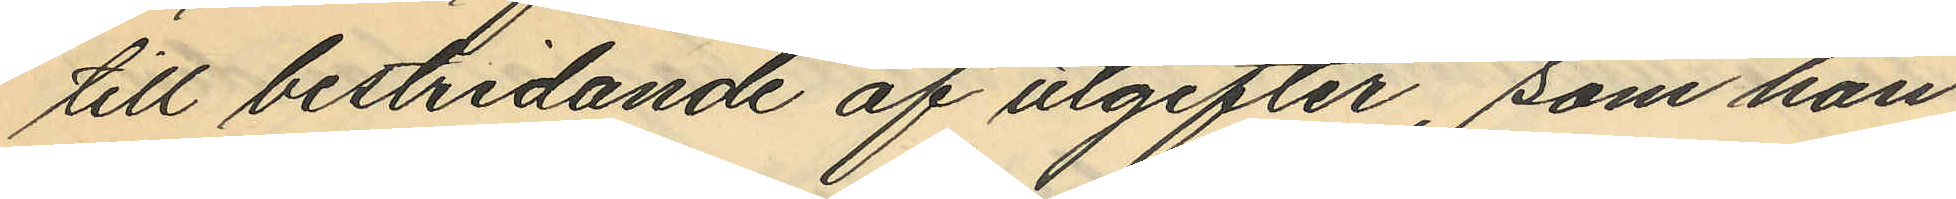till bestridande af utgifter, som han
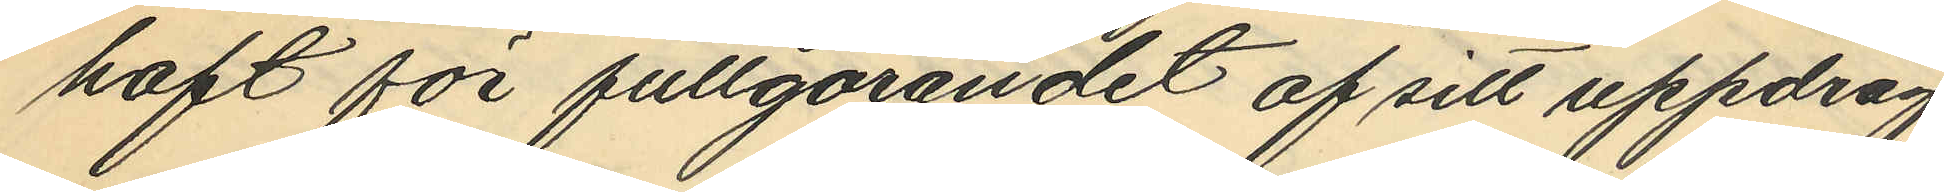haft för fullgörandet af sitt uppdrag.
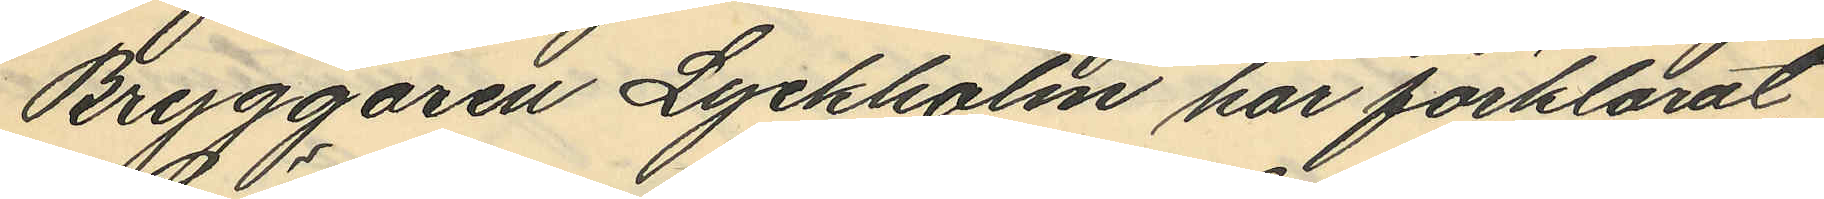Bryggaren Lyckholm har förklarat
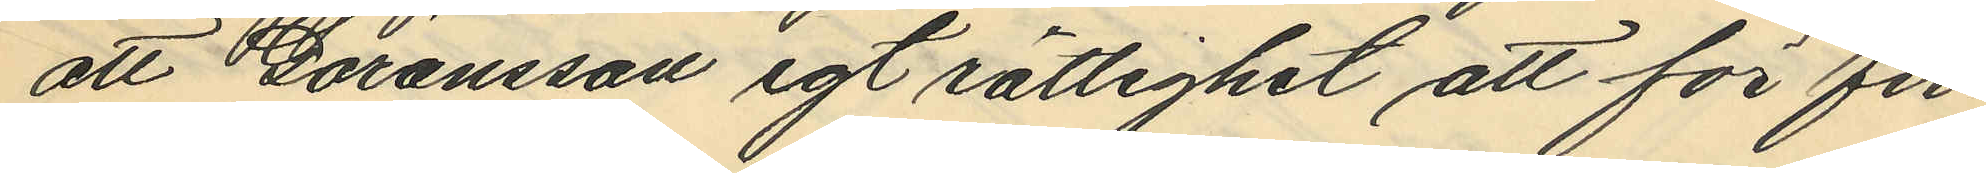att Göransson egt rättighet att för fir¬
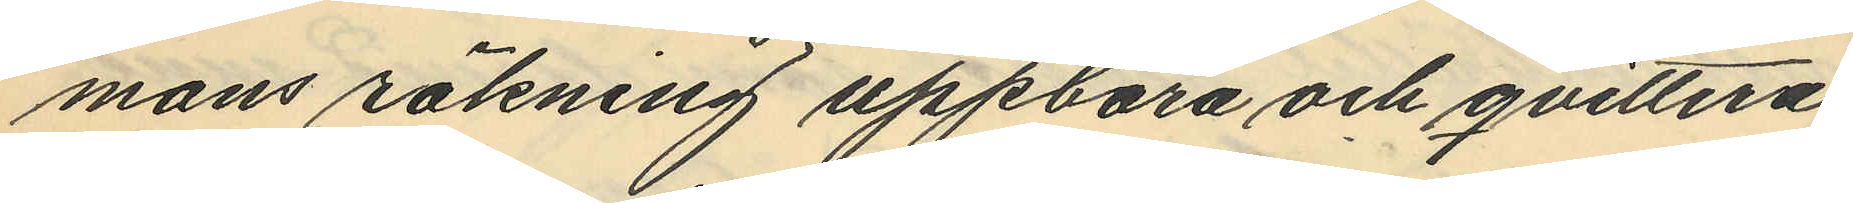mans räkning uppbära och qvittera
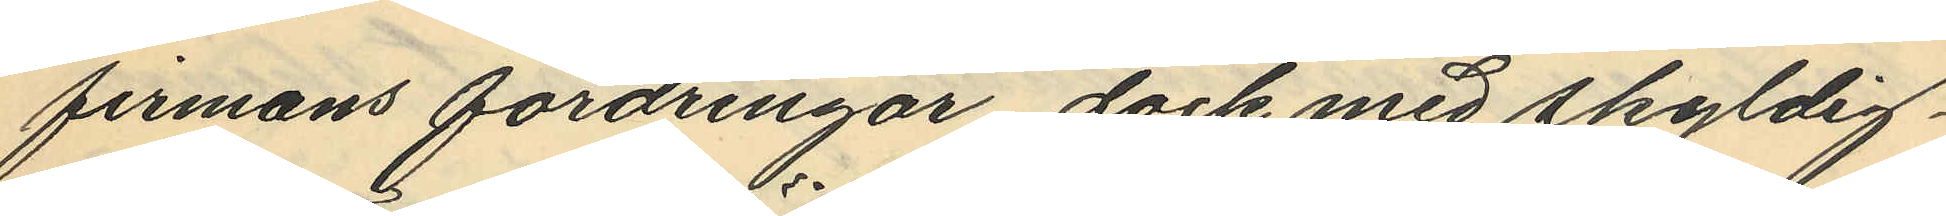firmans fordringar dock med skyldig¬
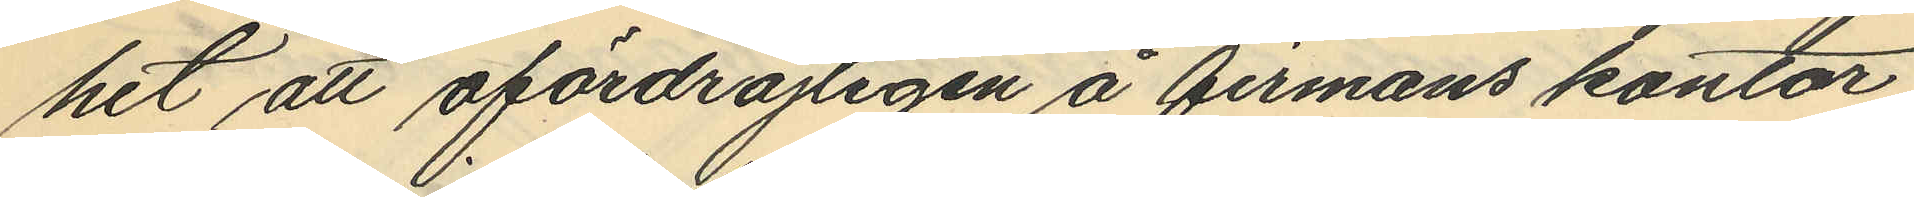het att ofördröjligen å firmans kontor
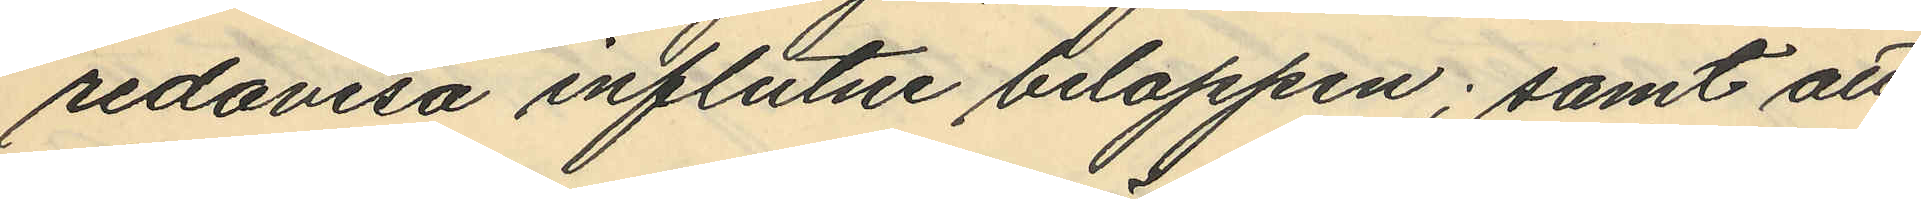redovisa influtne beloppen; samt att
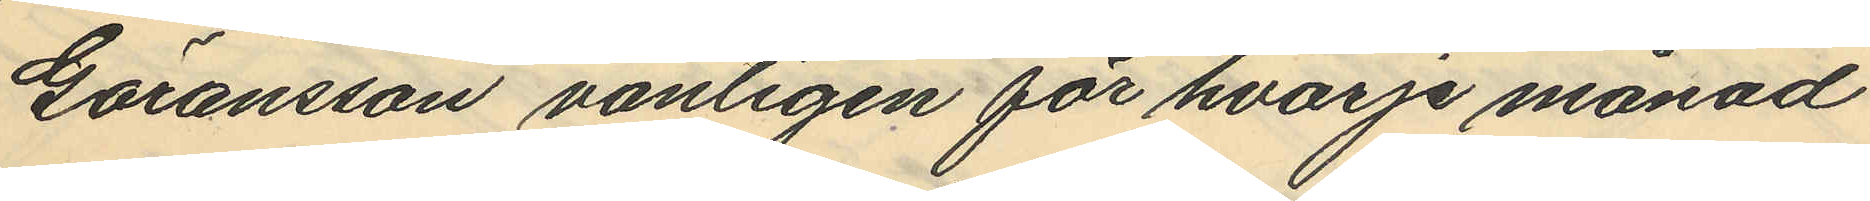Göransson vanligen för hvarje månad
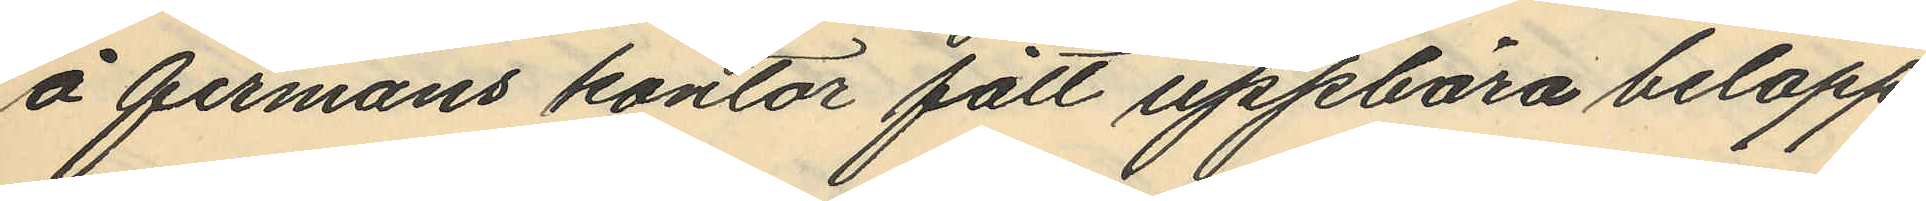å firmans kontor fått uppbära belopp
